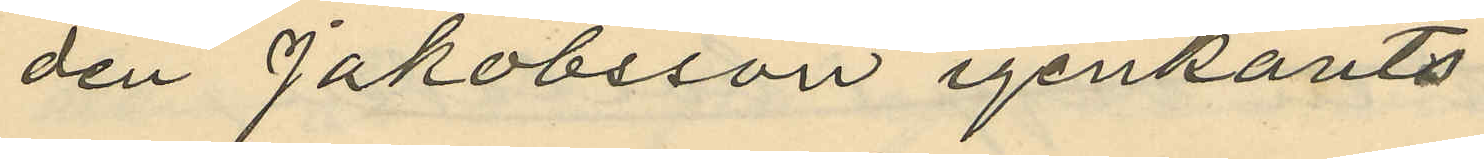den Jakobsson igenkänts
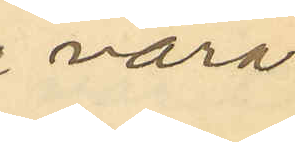vara
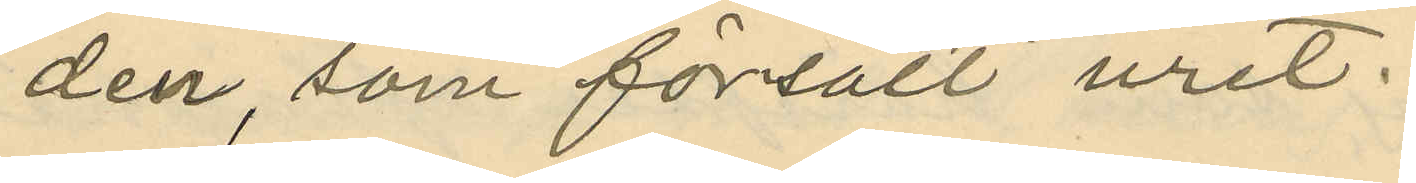den, som försålt uret.
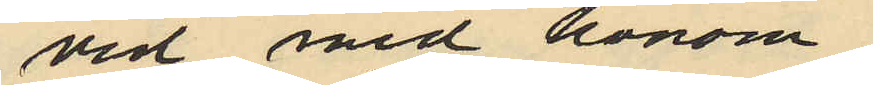vid med honom
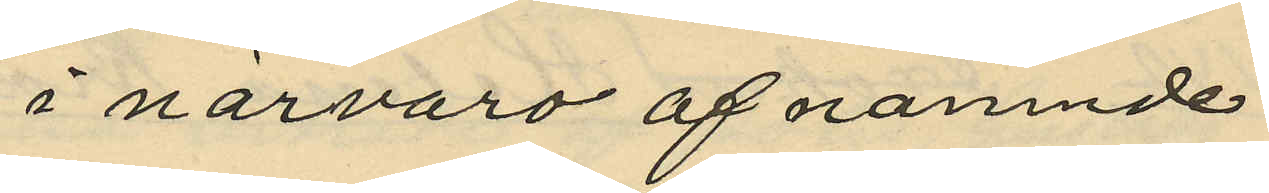i närvaro af nämnde
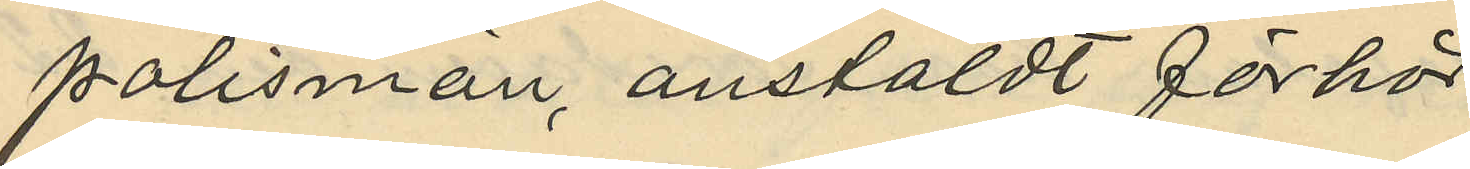polismän, anstäldt förhör
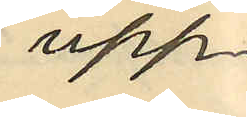upp¬
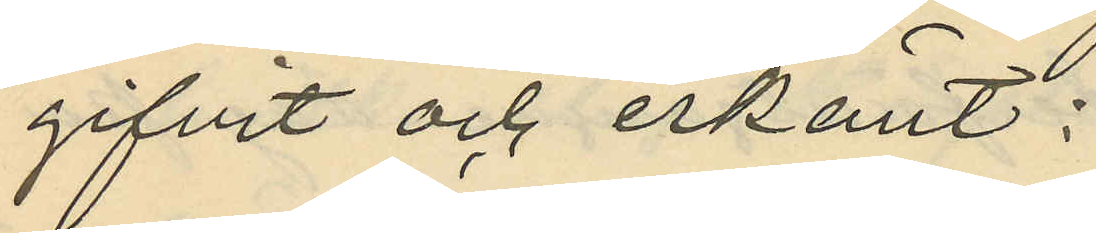gifvit och erkänt:
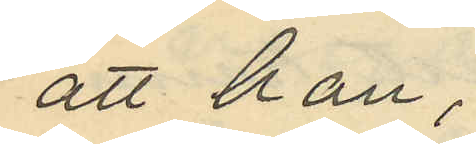att han,
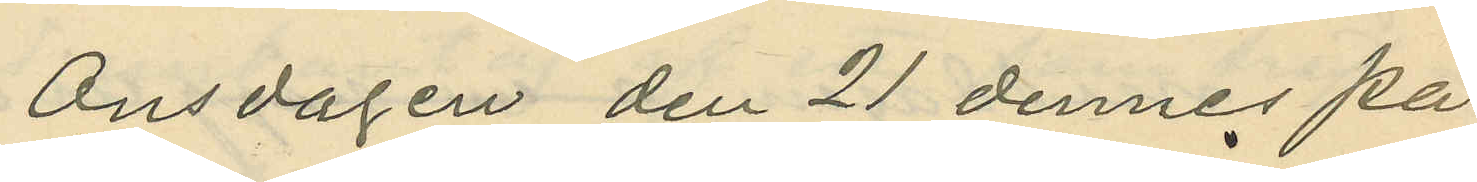Onsdagen den 21 dennes på
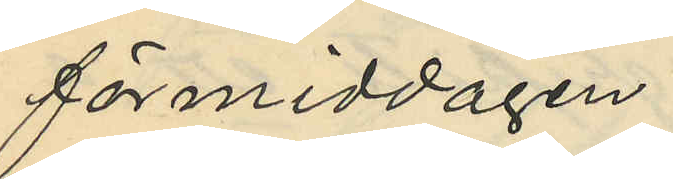förmiddagen
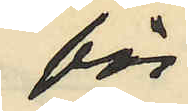för
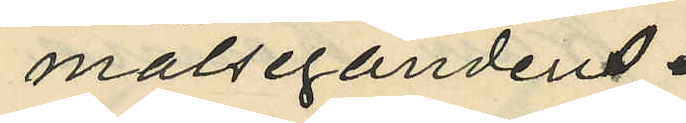målsegandens
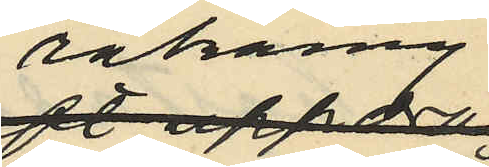räkning
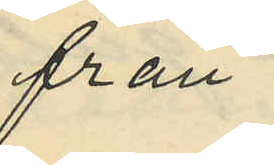från
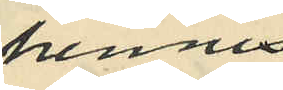hennes
